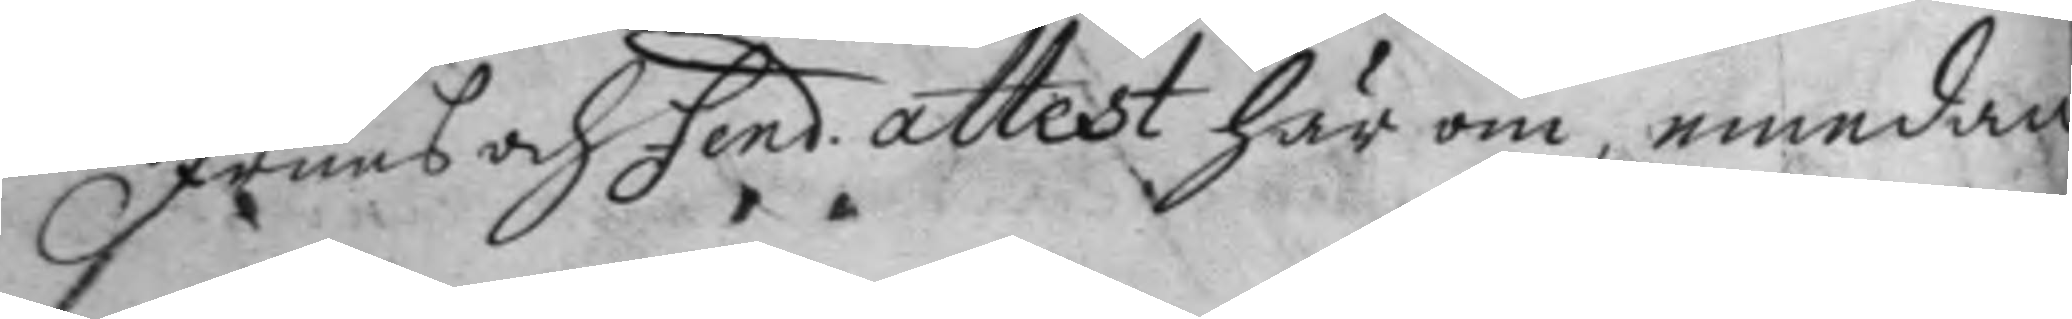Fruns och Fend. attest här om, emedan 
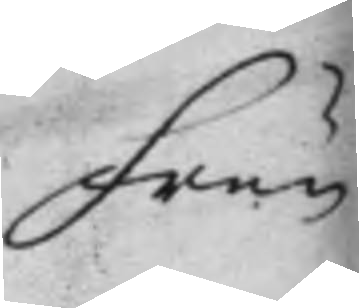Frun
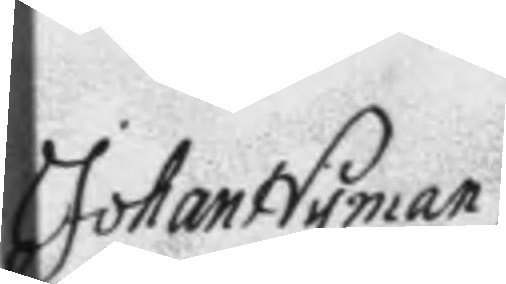Johan Nyman
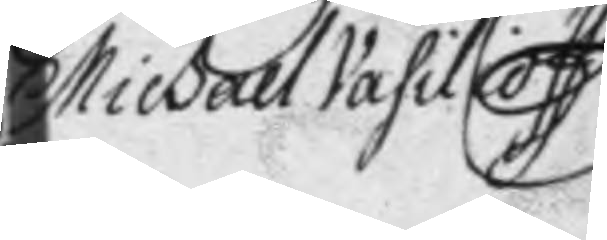Michall Vasilioff
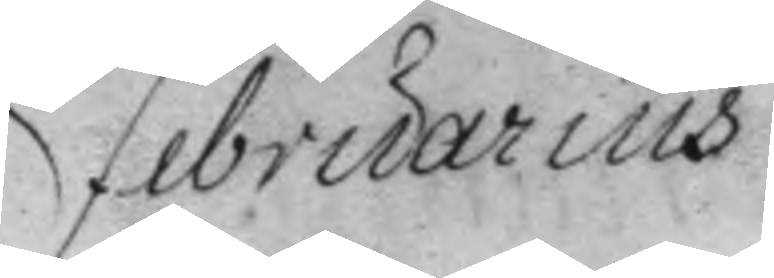Februarius
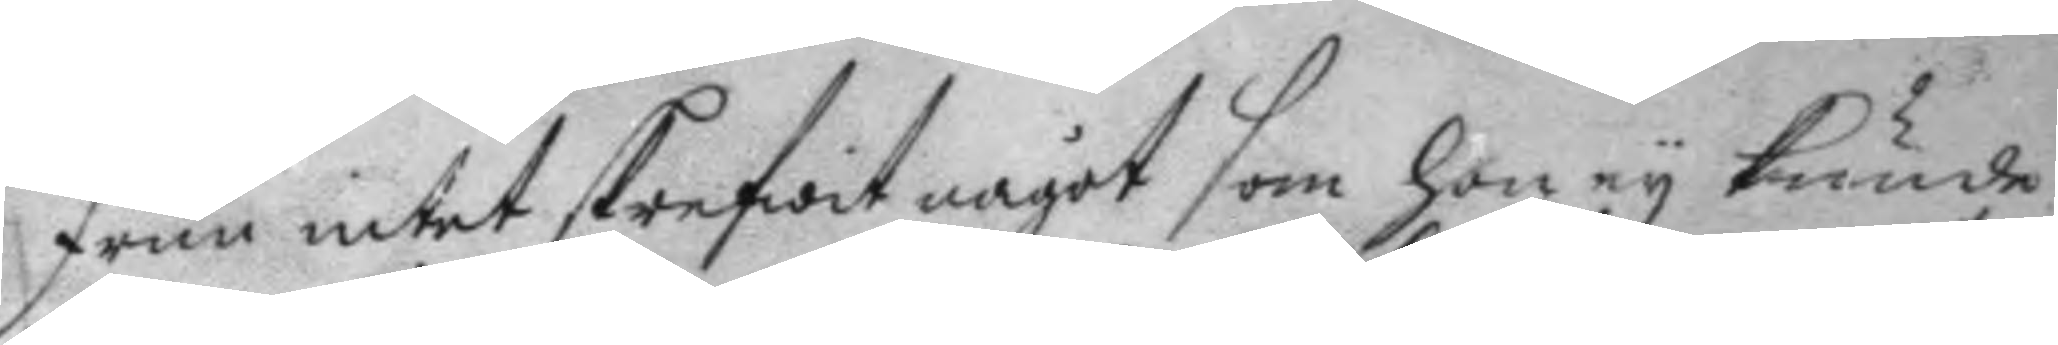Frun intet skrefwit något som hon ey kunde
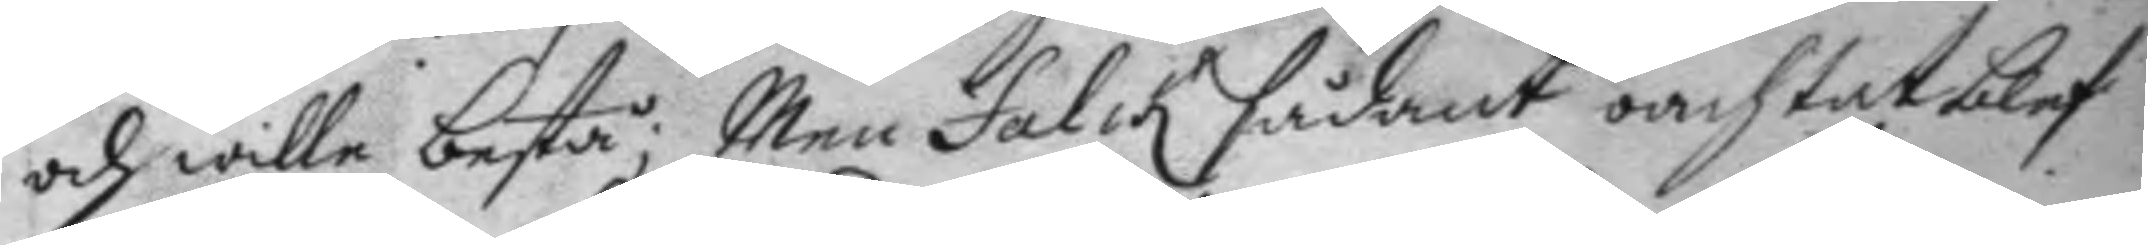och wille bestå; Men Falck sådant oachtat blef
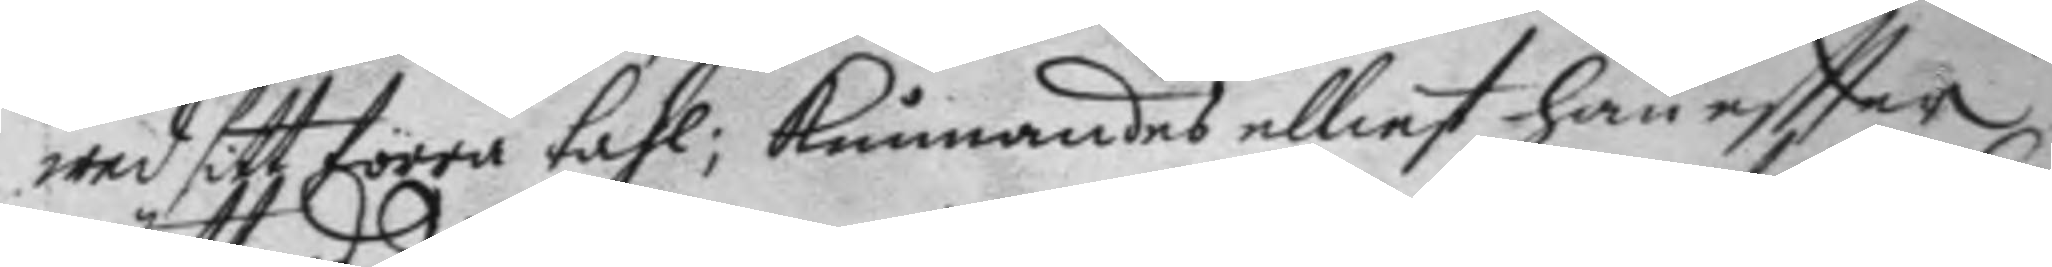wed sitt förra tahl; kunnandes elliest han eftter
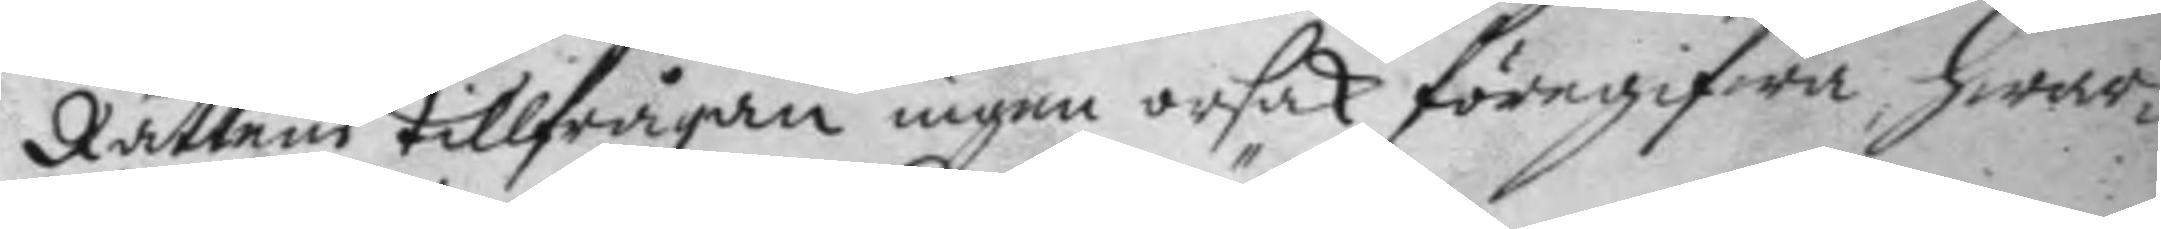Rättens tillfrågan ingen orsak föregifwa, hwar¬
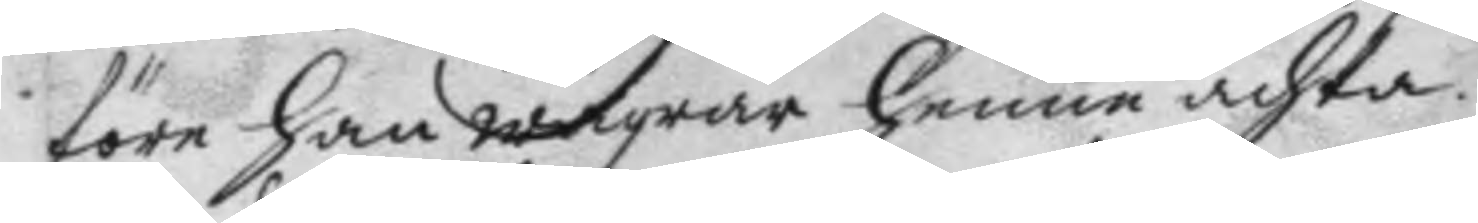före han wägrar henne ächta.
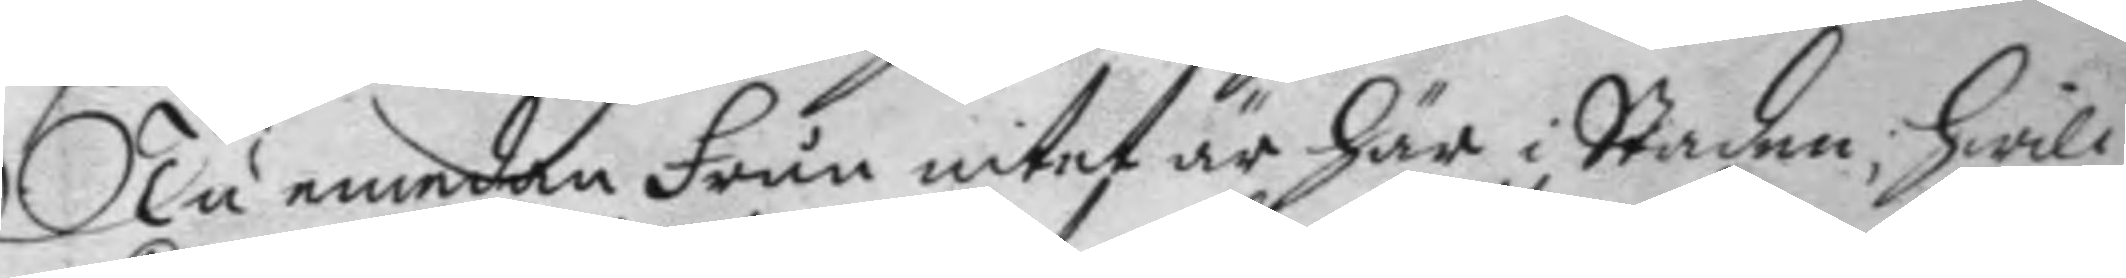Nu emedan Frun intet är här i Staden; Hwil¬
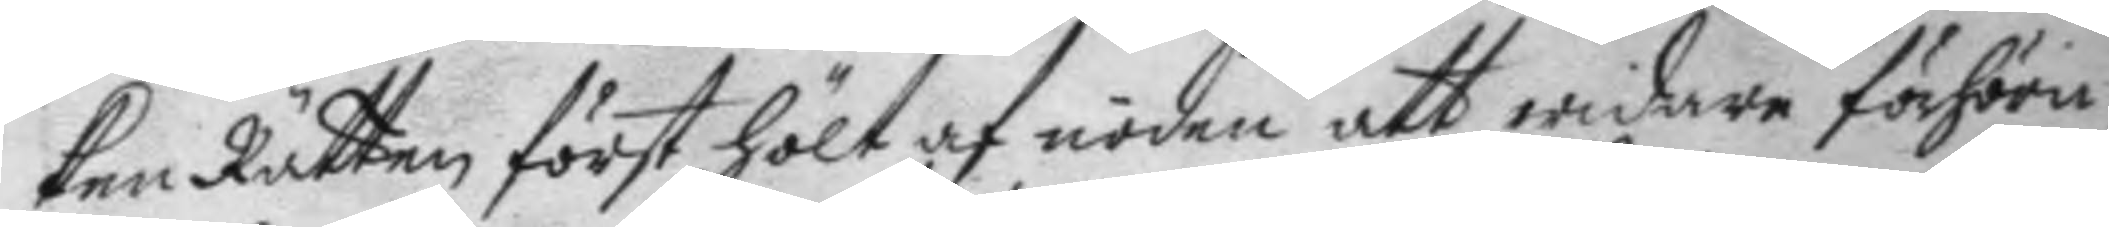ken Rätten först hölt af nöden att widare förhöra:
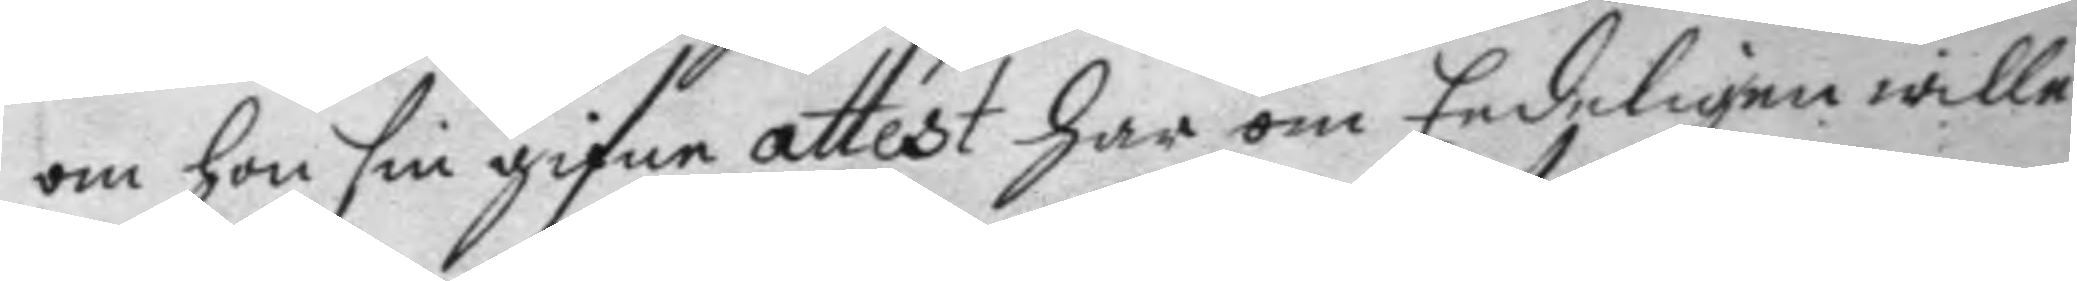om hon sin gifne attest här om Eedeligen wille
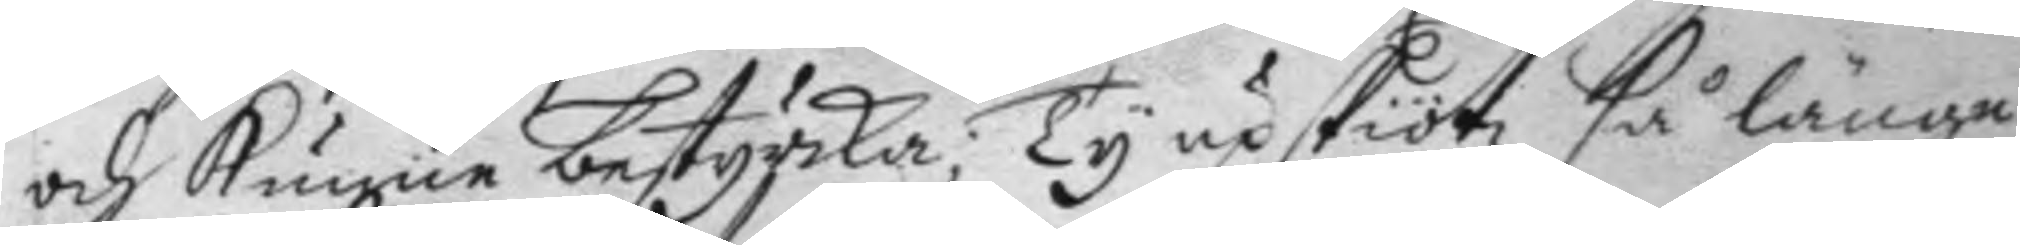och kunne bestyrka; Ty upskiötz så länge
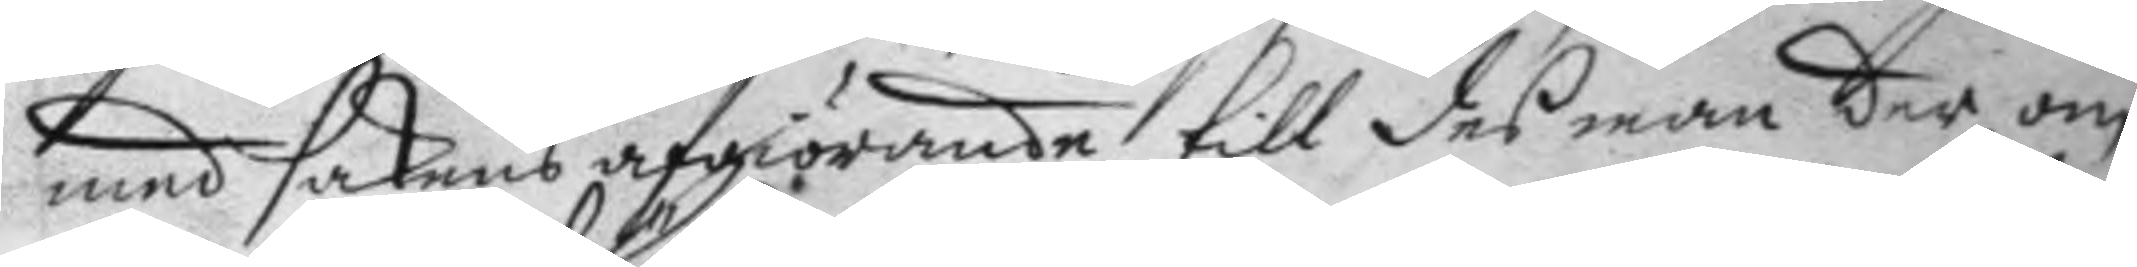med sakens afgiörande, till des man der om
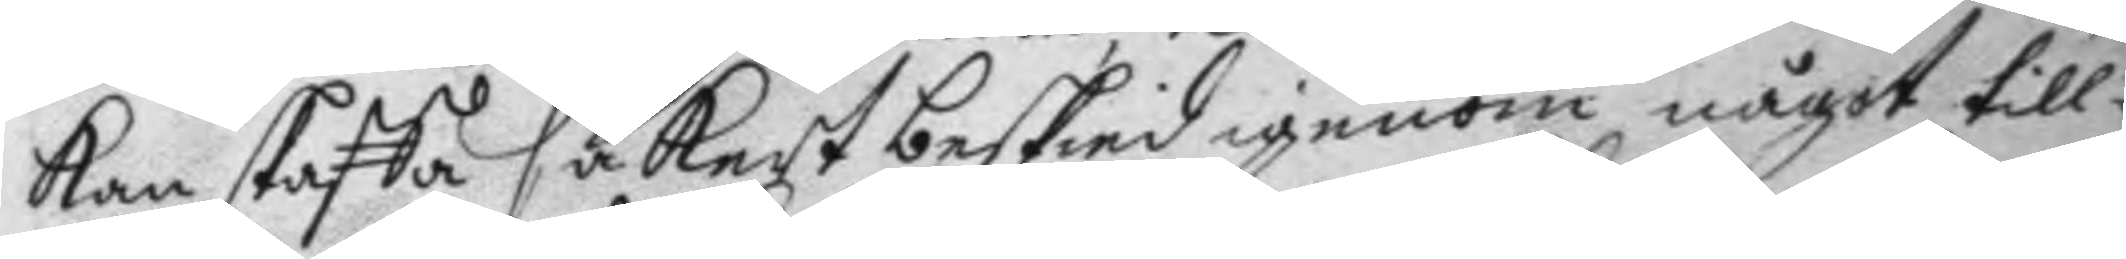kan skaffa säkert beskied igenom något till¬
